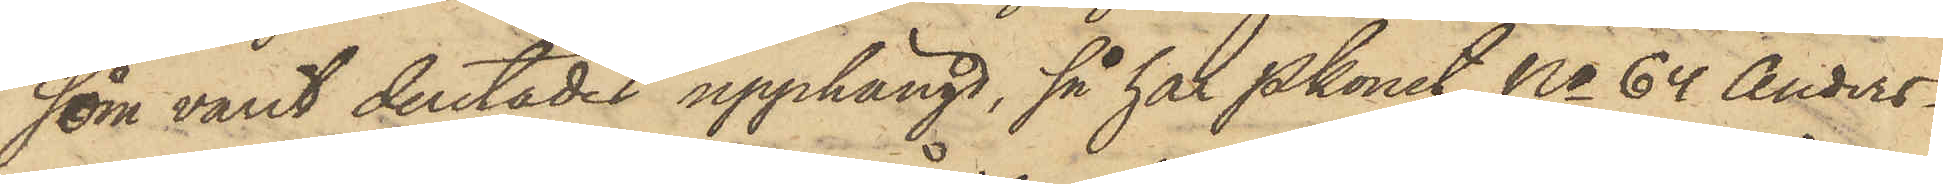som varit derstädes upphängd, så har Pkonst No 64 Anders¬
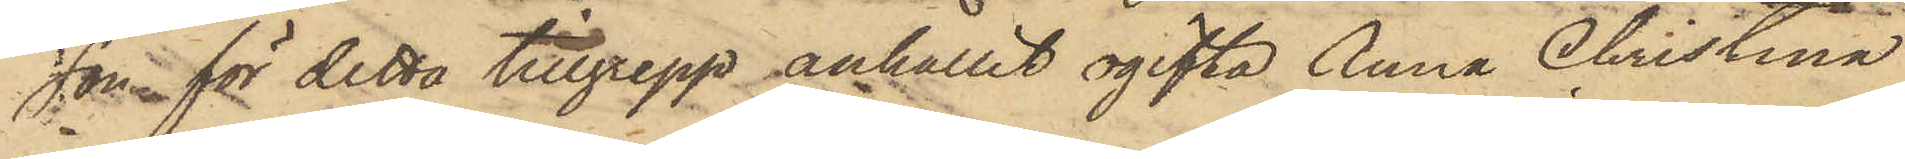son för detta tillgrepp anhållit ogifta Anna Christina
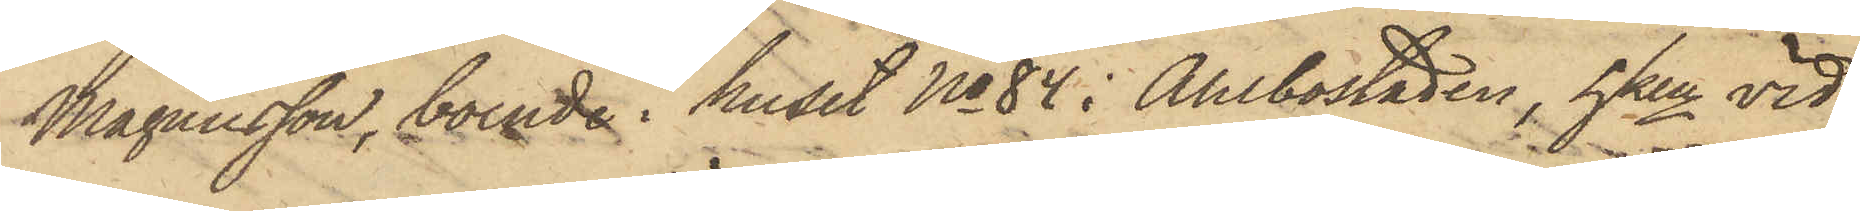Magnusson, boende i huset No 84 i Ahlbostaden, hken vid
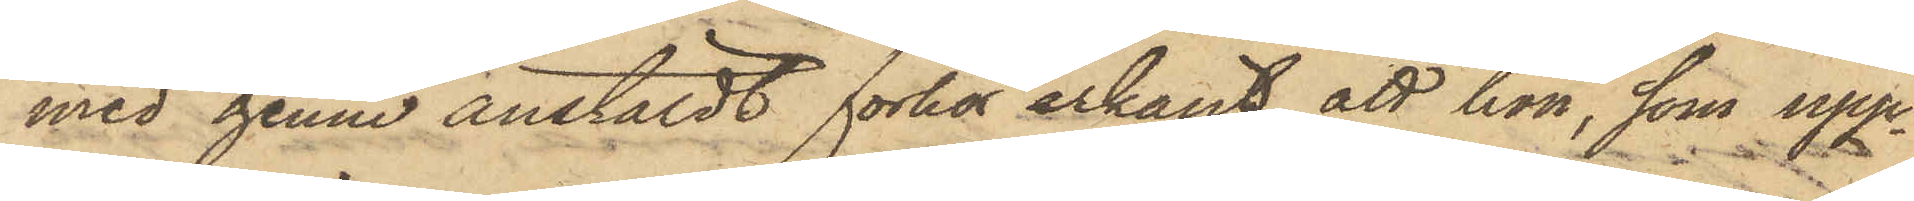med henne anstäldt förhör erkänt, att hon, som upp¬
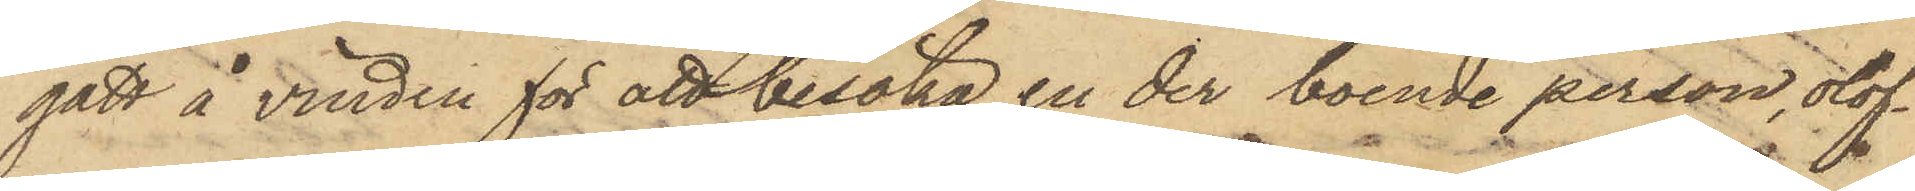gått å vinden för att besöka en der boende person, olof¬
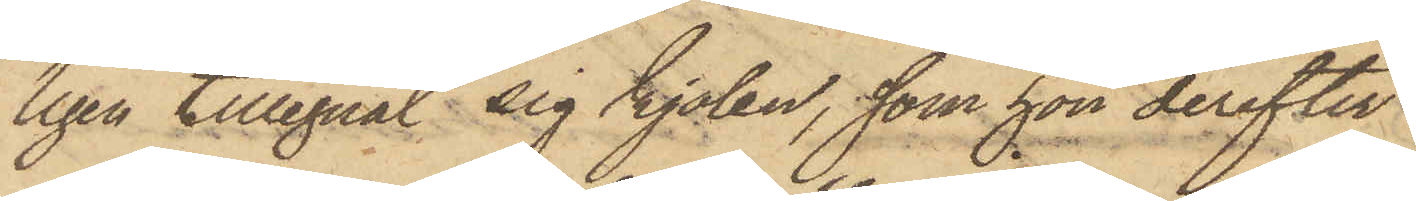ligen tillegnat sig kjolen, som hon derefter
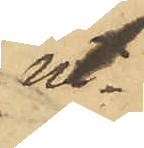ut¬
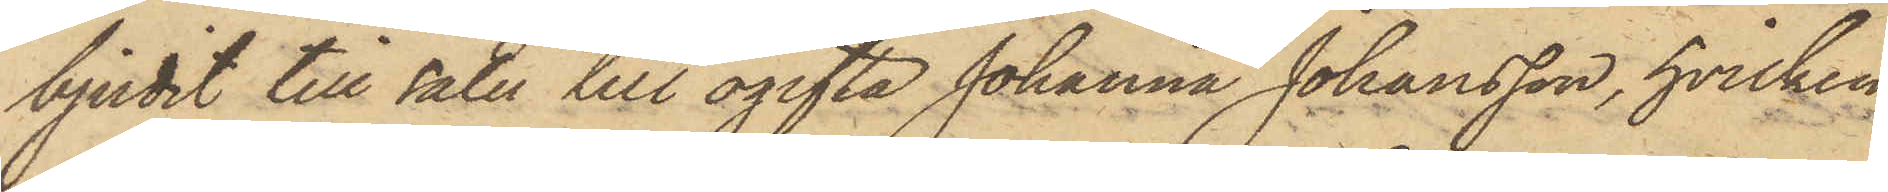bjudit till salu till ogifta Johanna Johansson, hvilken
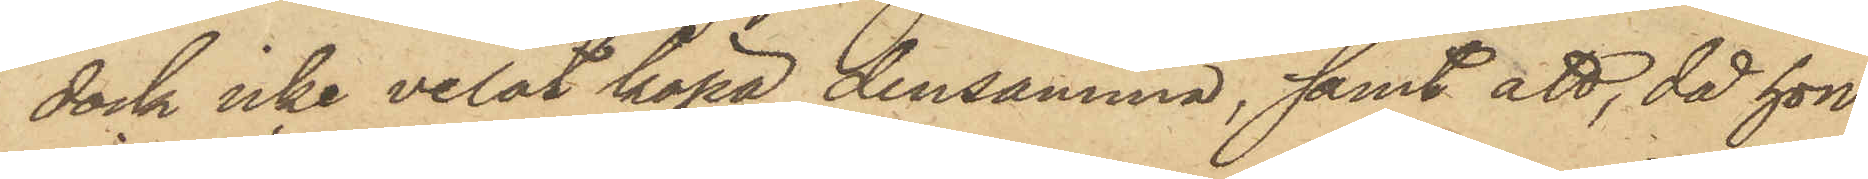dock icke velat köpa densamma, samt att, då hon
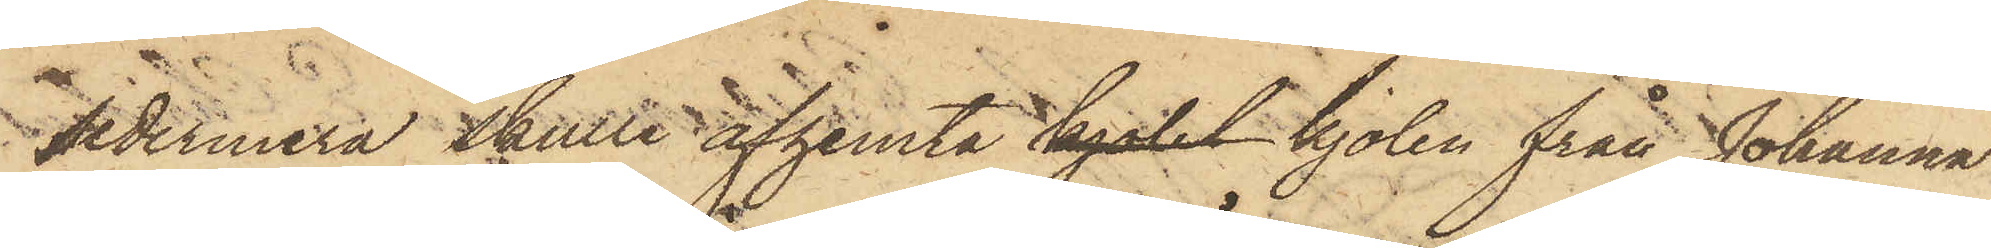sedermera skulle afhemta kjolet kjolen från Johanna
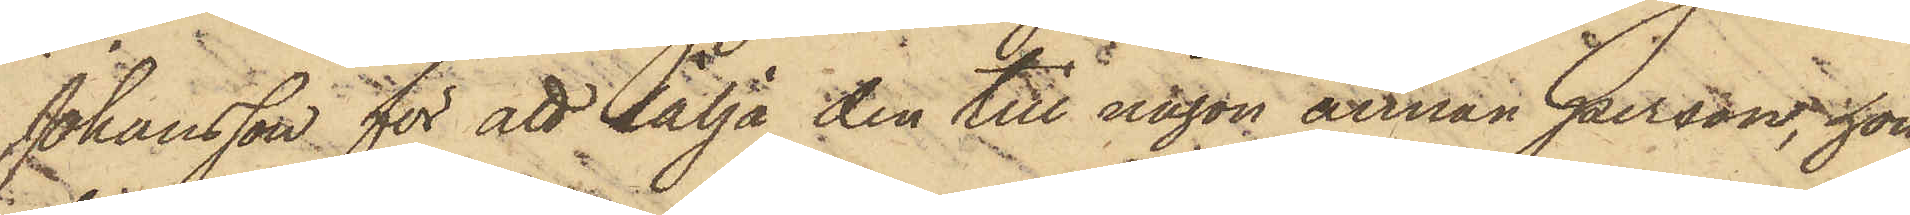Johansson för att sälja den till någon annan person, hon
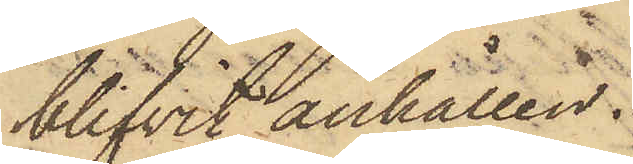blifvit anhållen.
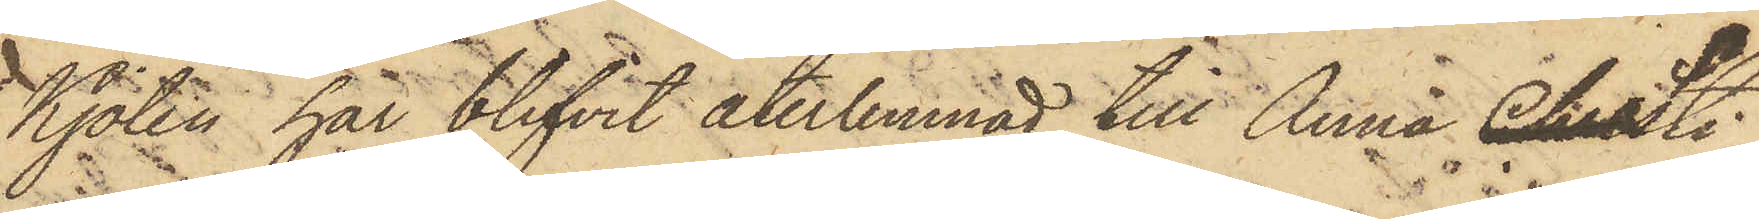Kjolen har blifvit återlemnad till Anna Christi¬
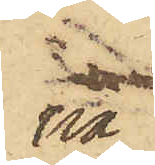na
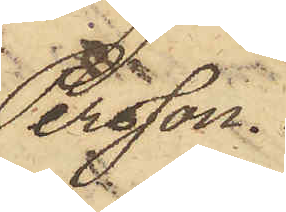Persson.
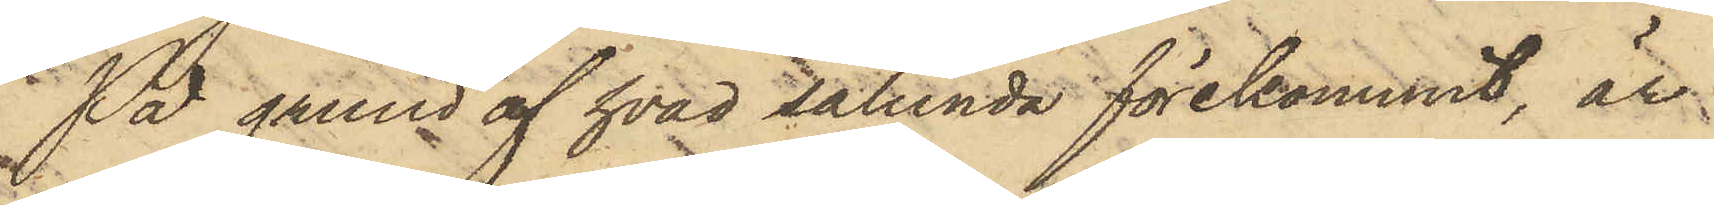På grund af hvad sålunda förekommit, är
